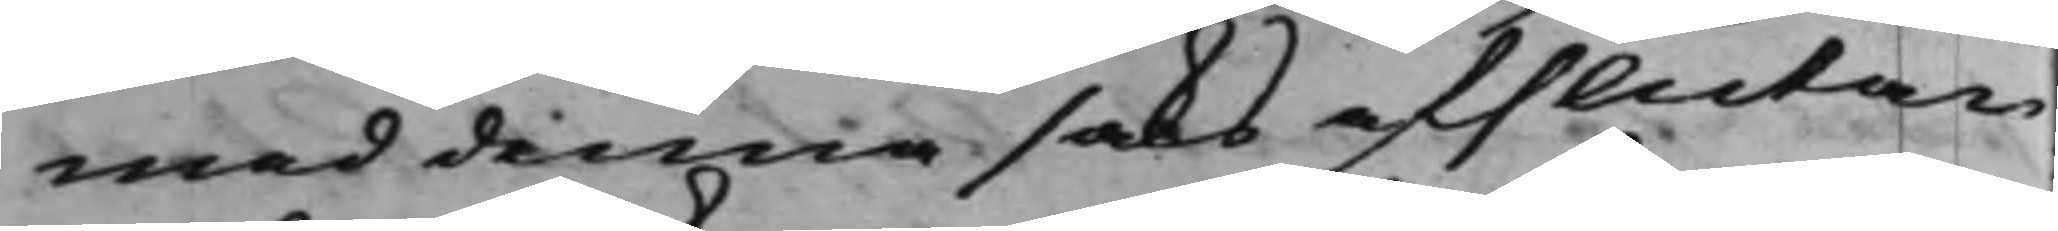med denna saks afslutan¬
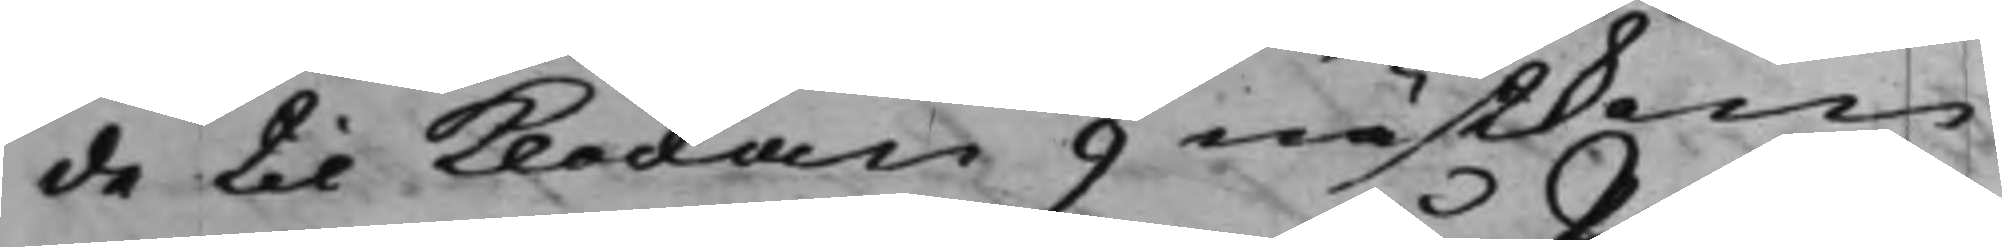de til Klockan 9 nästkom¬
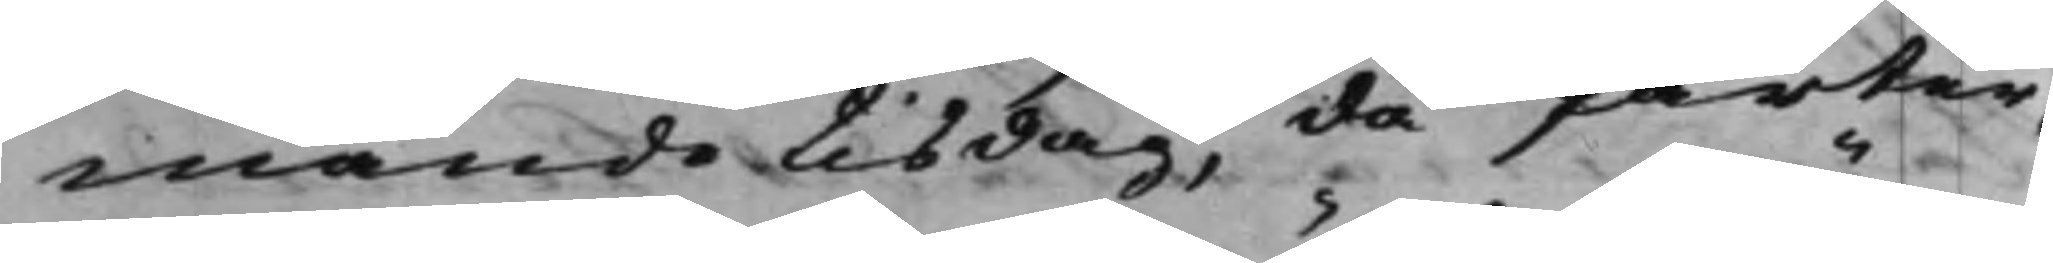mande tisdag, då Parter¬
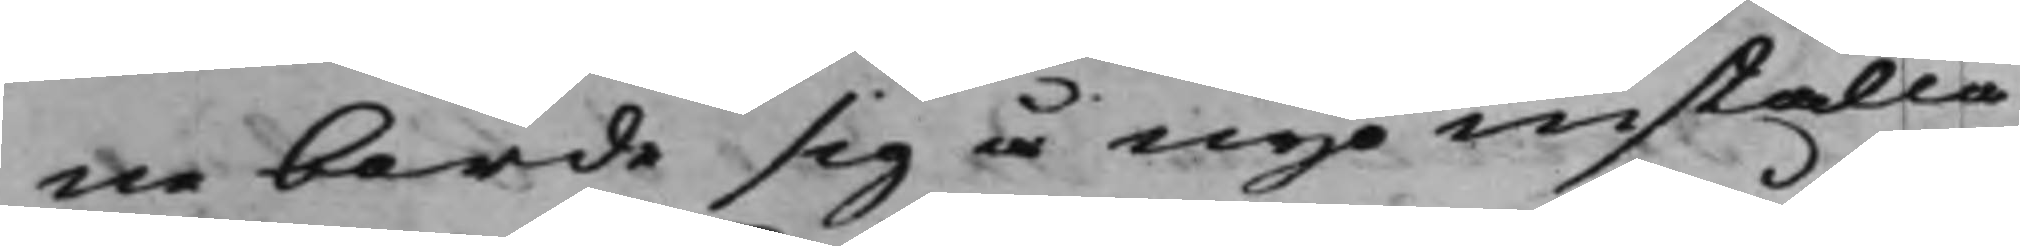ne borde sig å nyo inställa
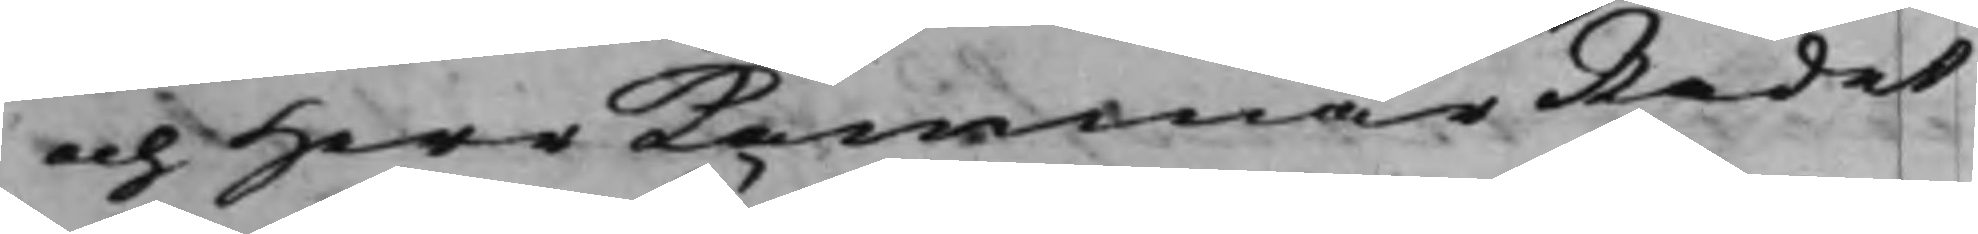och Herr KammarRådet
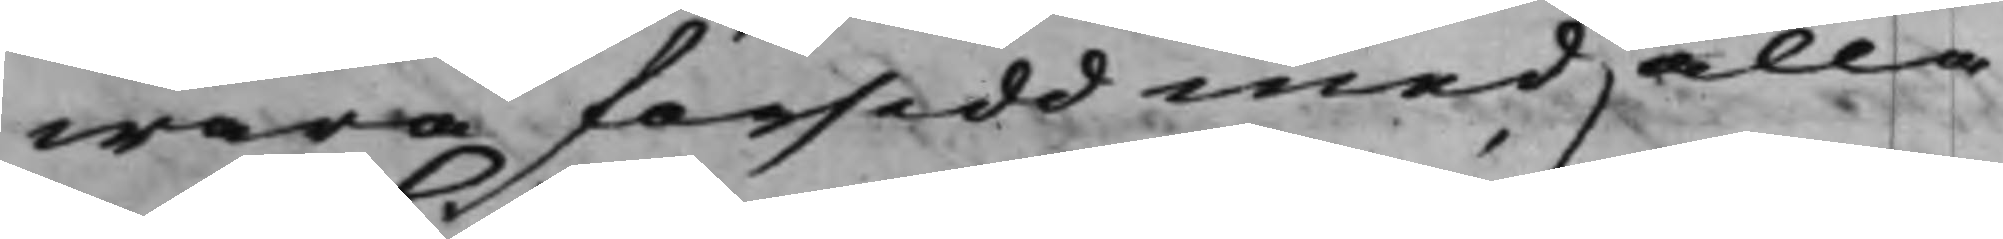wara försedd med alla
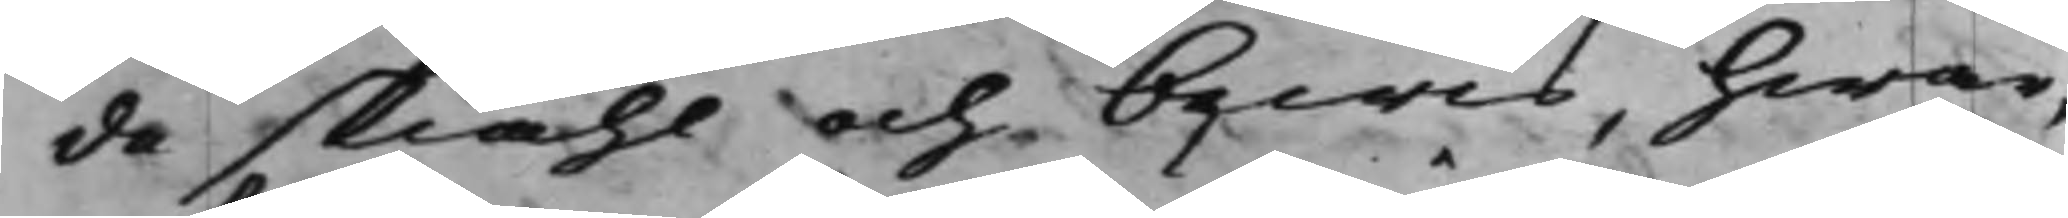de skiähl och bewis, hwar¬
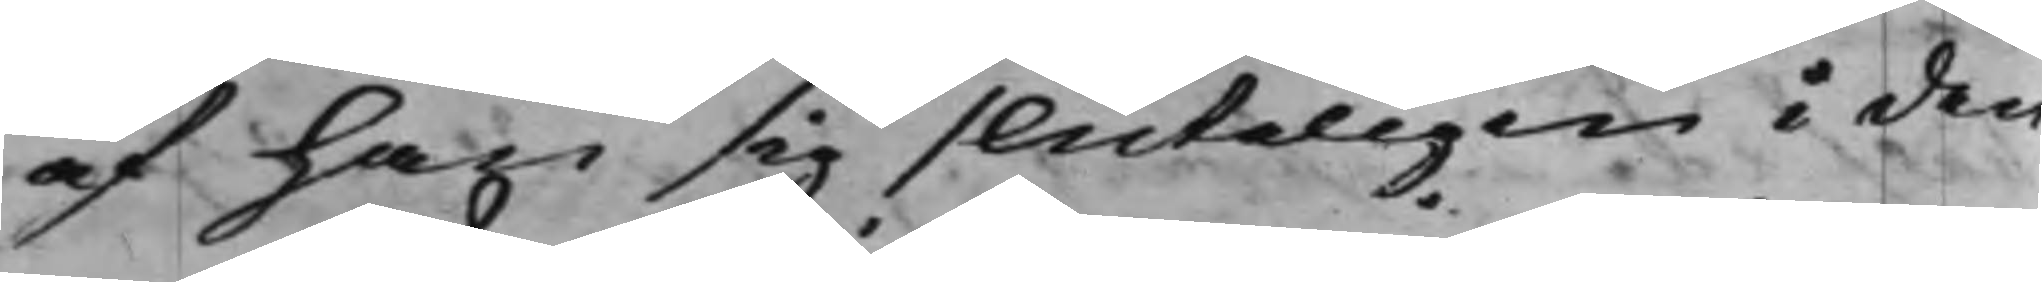af han sig sluteligen i den¬
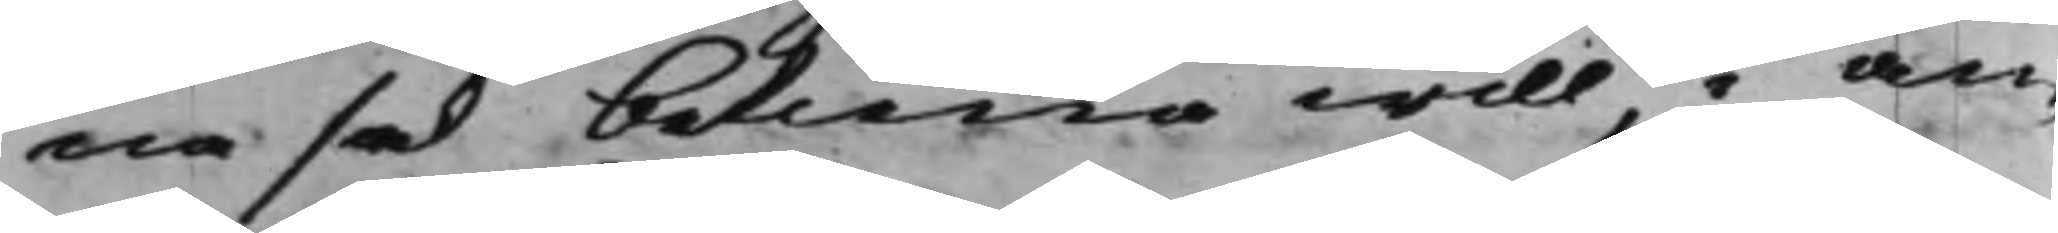na sak betiena will, i an¬
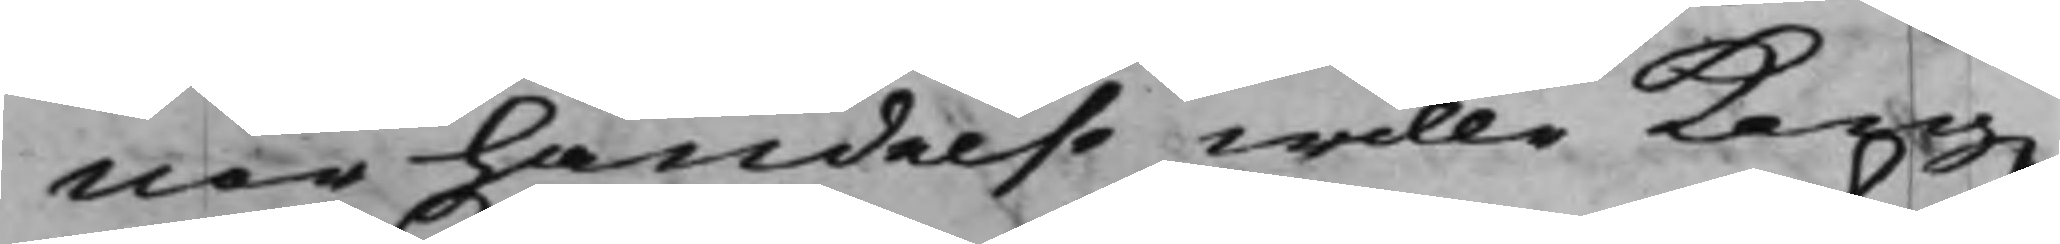nor händelse wille Kong.
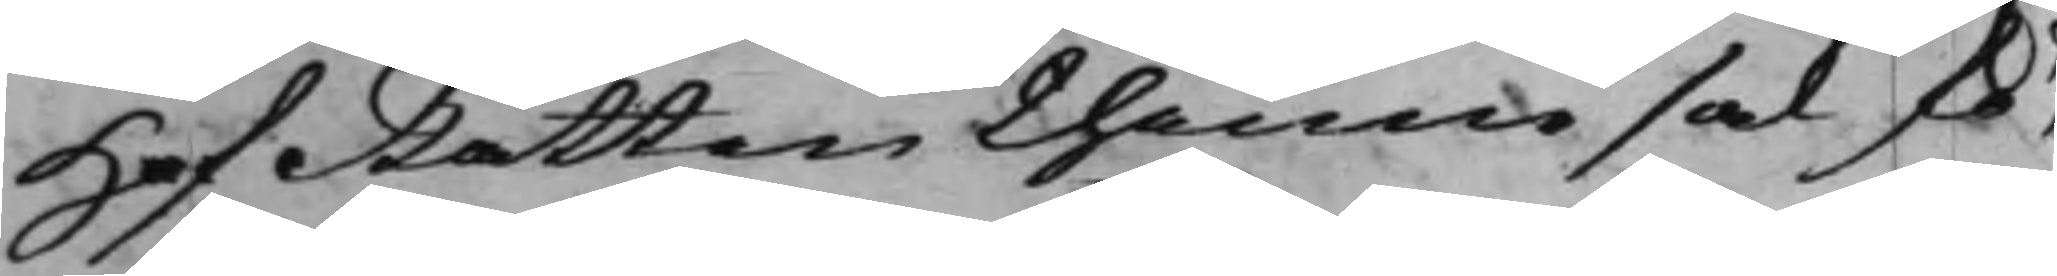HofRätten thenne sak fö¬
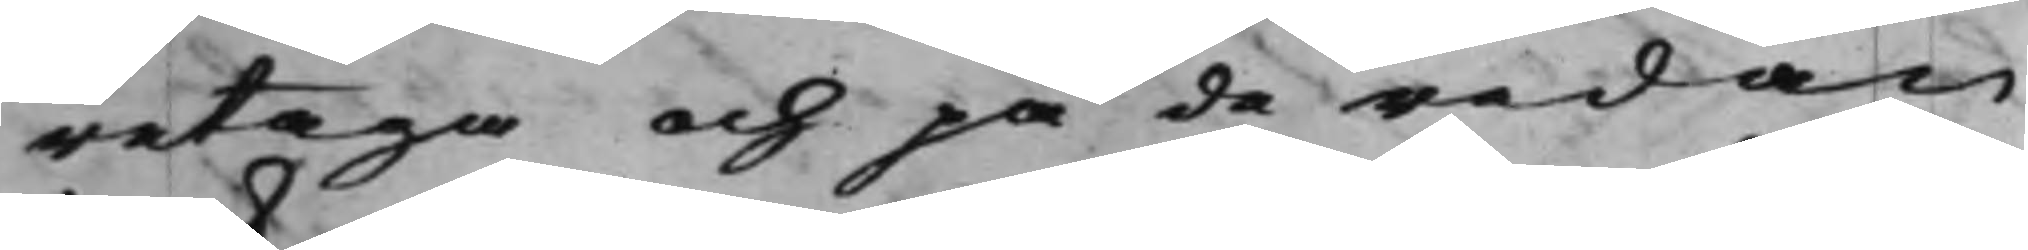retaga och på de redan
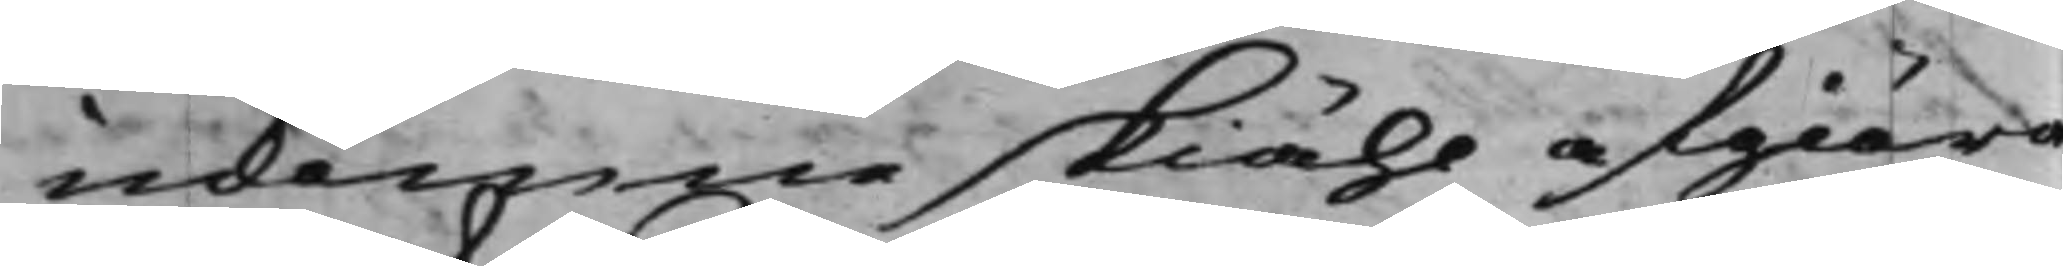inkomne skiähl afgiöra
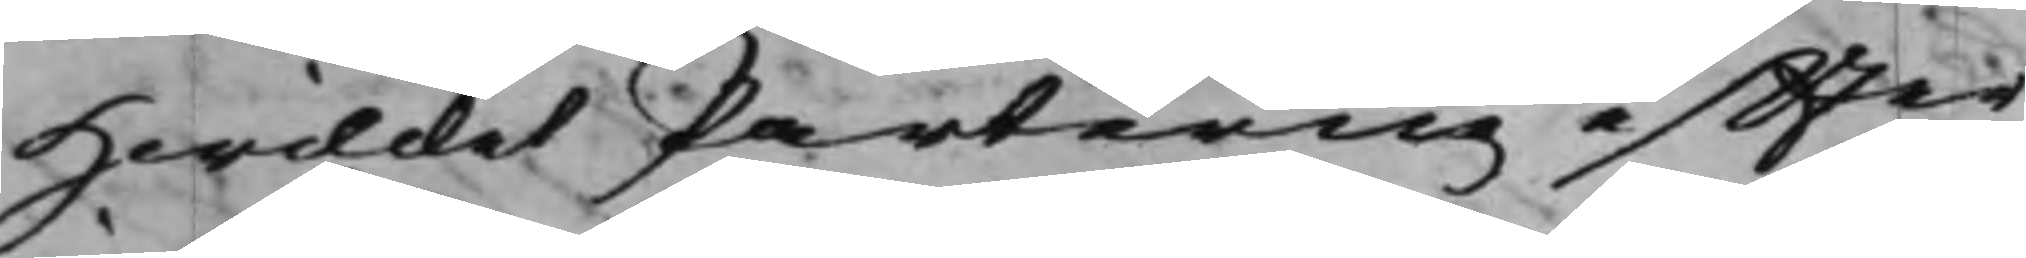Hwilcket Parterne effter
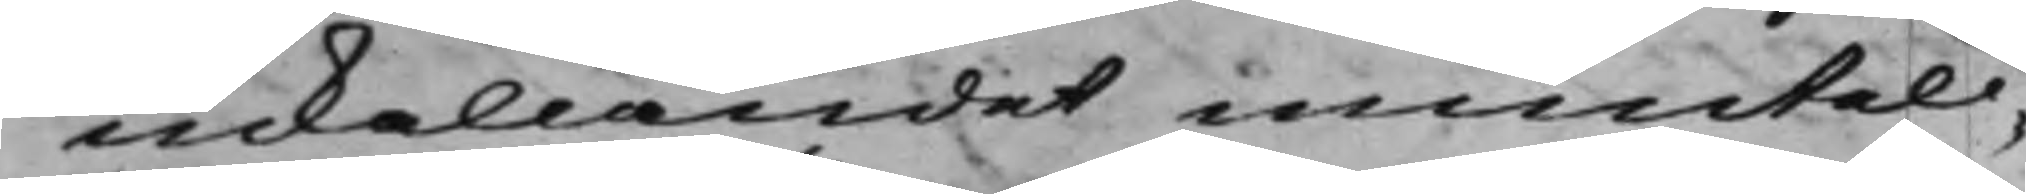inkallandet munteli¬
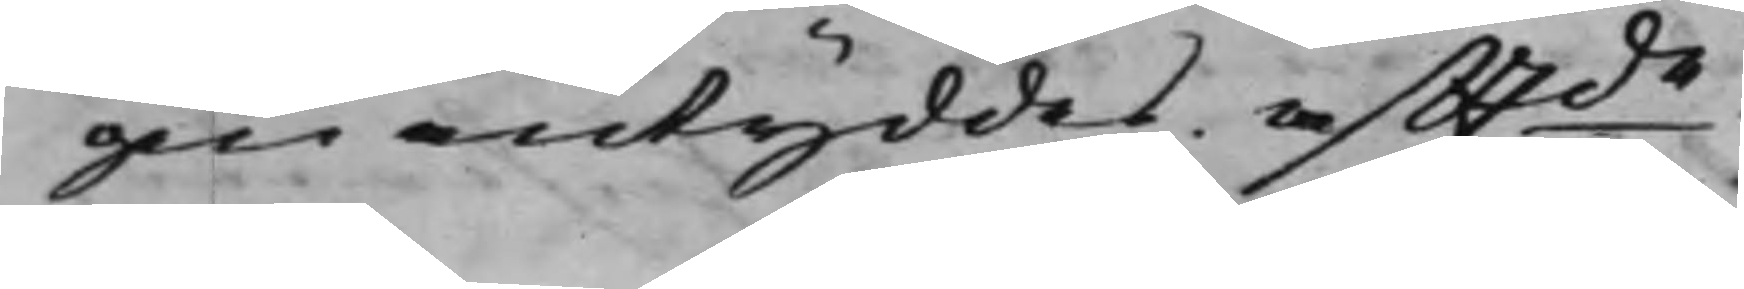gen antyddes. Afftde.
